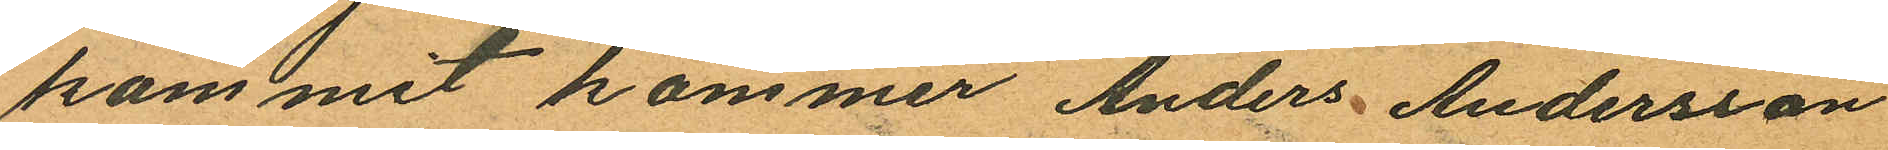kom mit kommer Anders Andersson
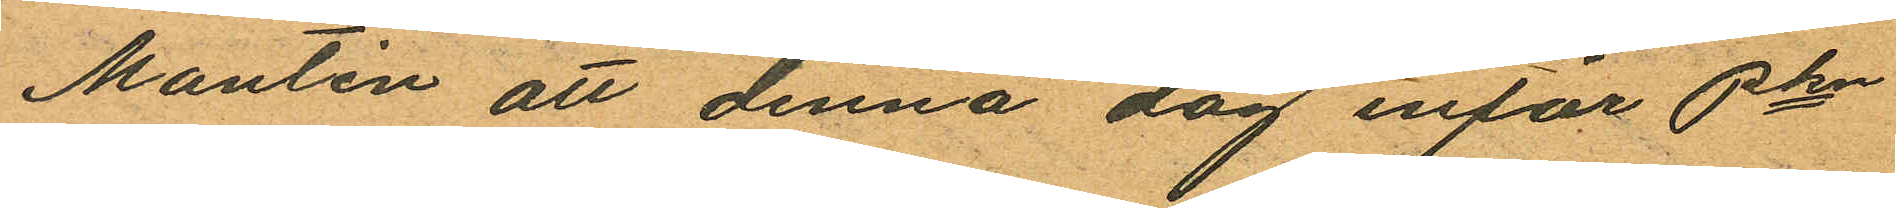Montén att denna dag inför Pkn
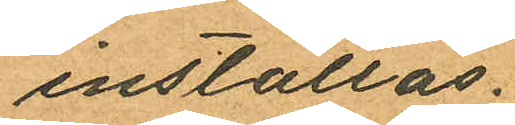inställas.
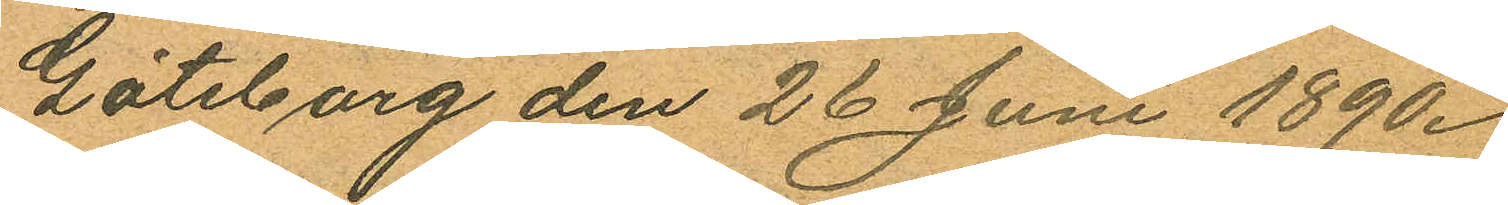Göteborg den 26 Juni 1890.
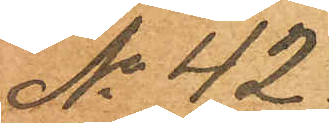No 42.
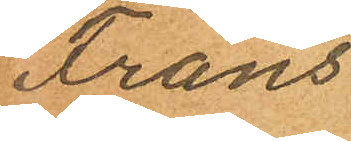Frans
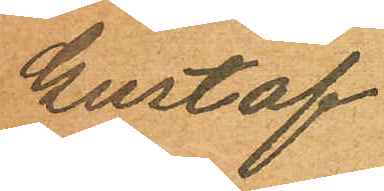Gustaf
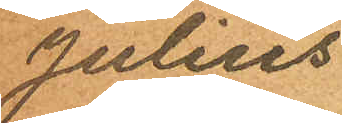Julius
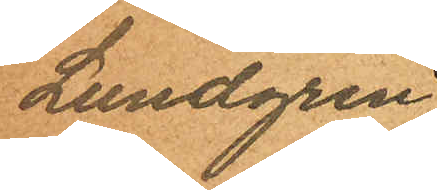Lundgren
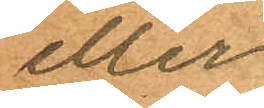eller
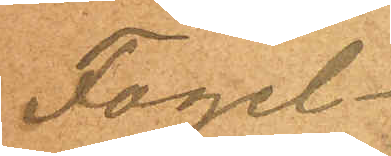Fogel¬
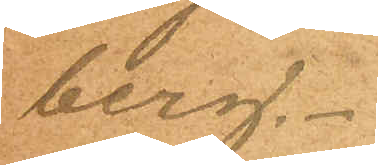berg.
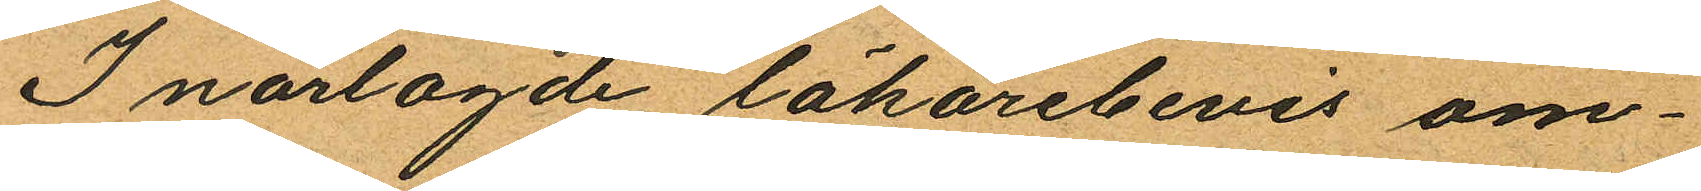I närlagde läkarebevis om¬
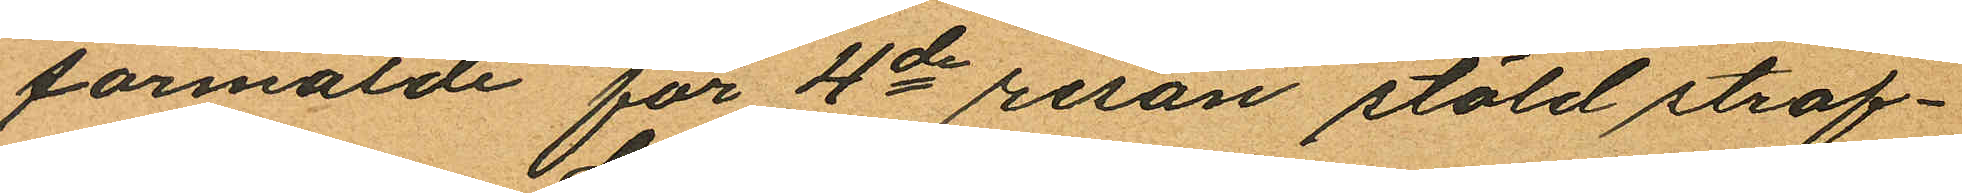formälde för 4de resan stöld straf¬
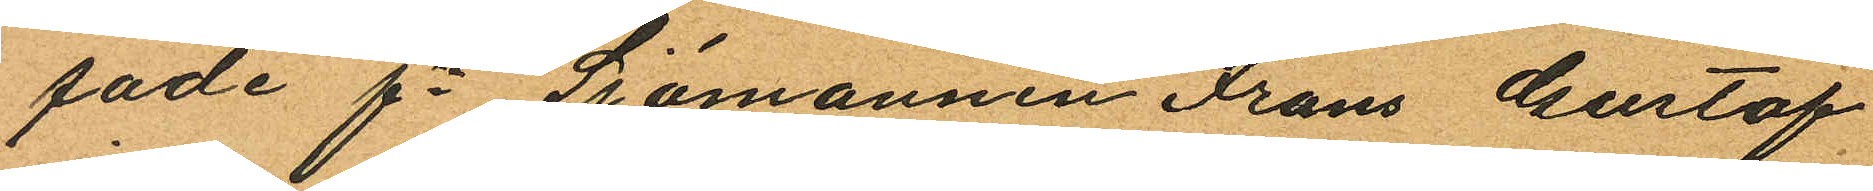fade fre Sjömannen Frans Gustaf
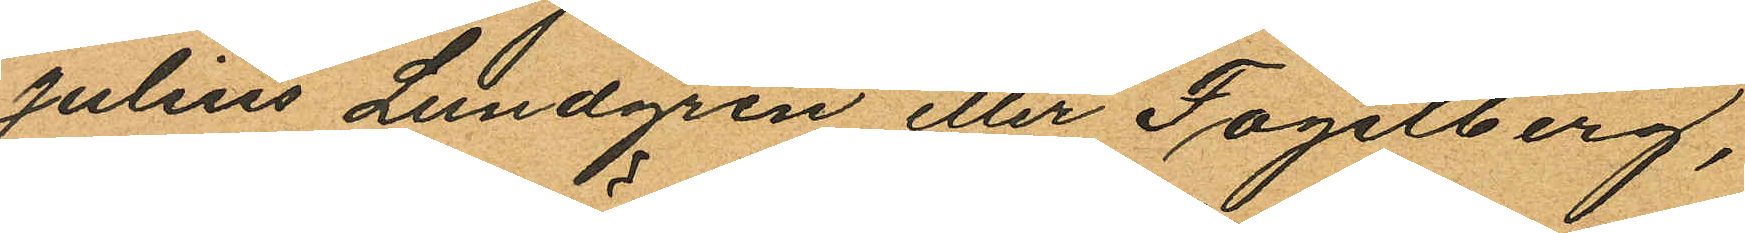Julius Lundgren eller Fogelberg,
